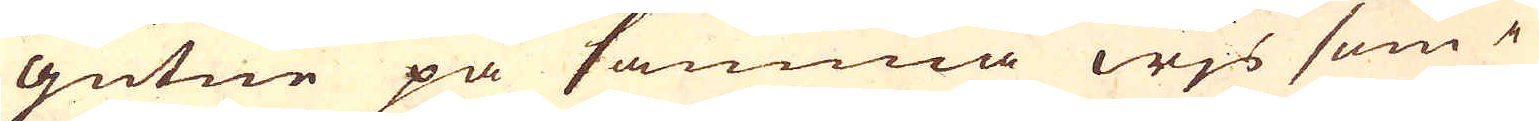gutne på samma wjs som i
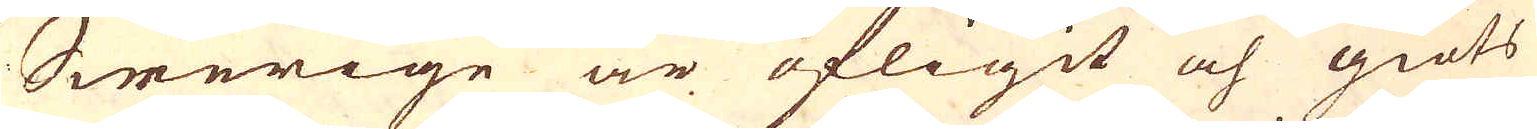Swerige är öfligit och giöts
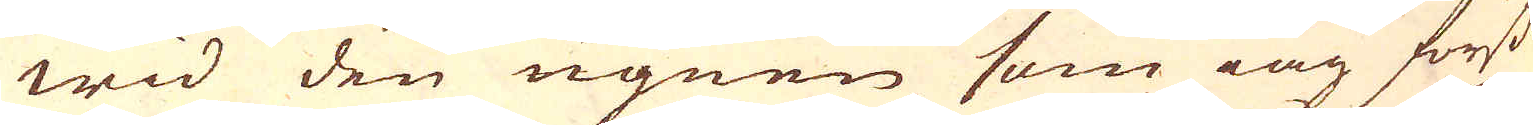wid den ugnen som iag först
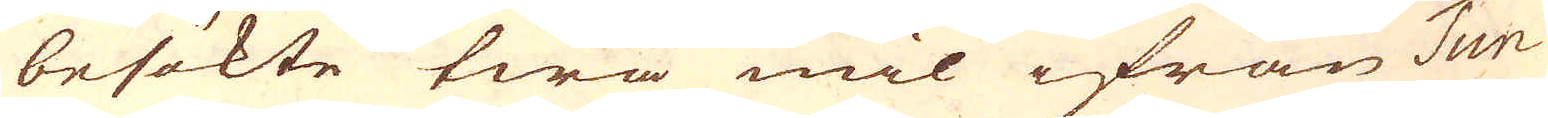besökte twå mil ifrån Tun-
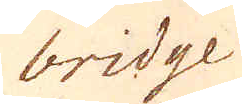bridge
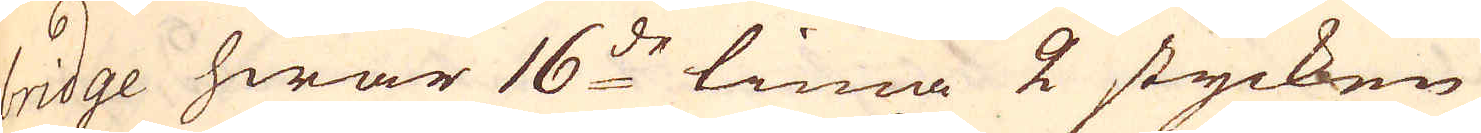bridge hwar 16:de tima 2 stycken
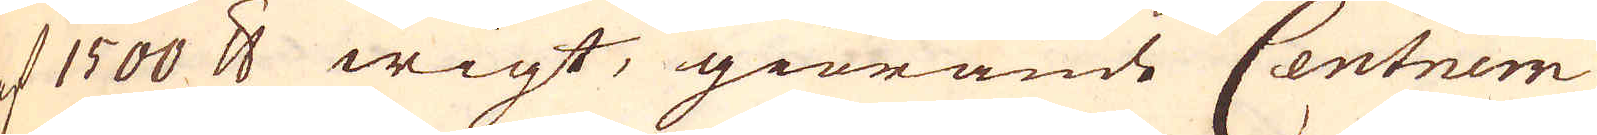af 1500 skålpund wigt, giörande Centnern
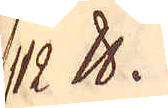112 skålpund.
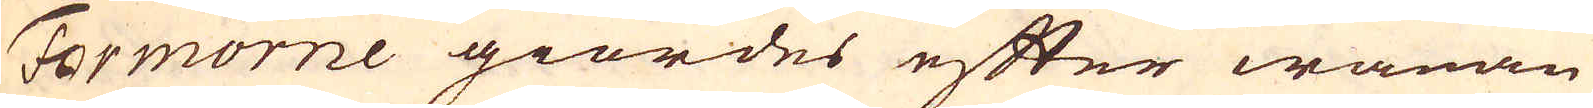Formorne giordes efter wanan
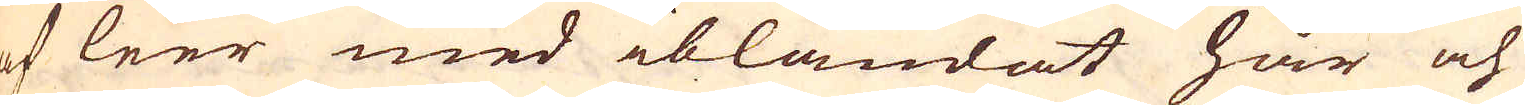af leer med iblandat hår och
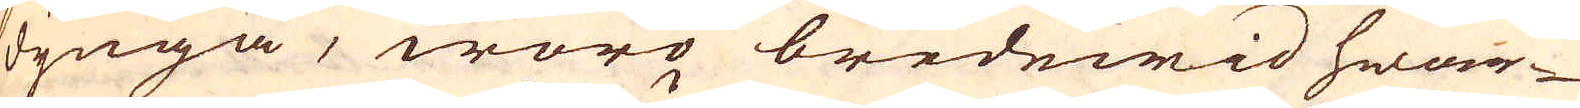dynga, woro bredewid hwar-
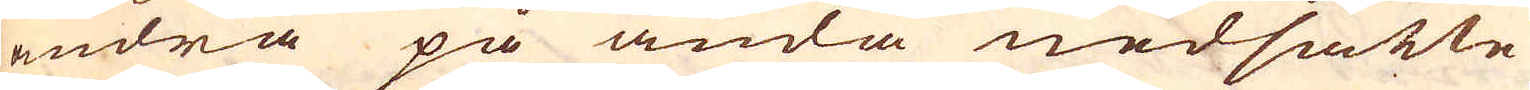andra på ända nedsatte
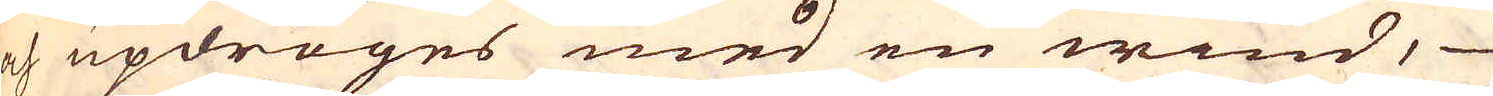och updroges med en wind,
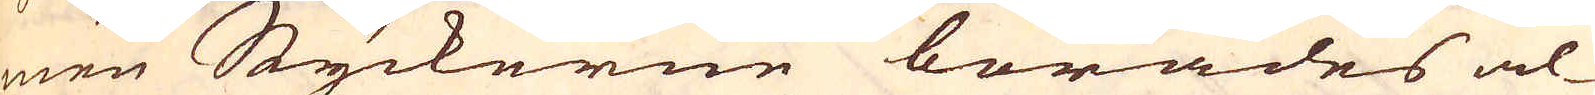men Styckerne borades al-
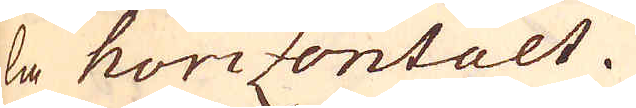la horizontalt.
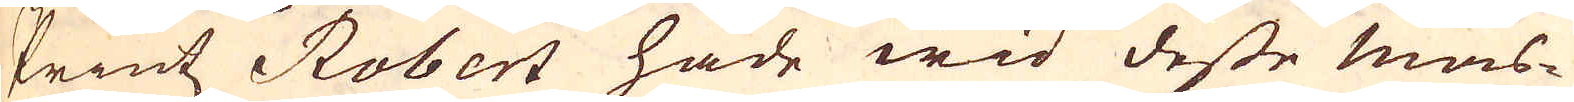Printz Robert hade wid desse mas-
